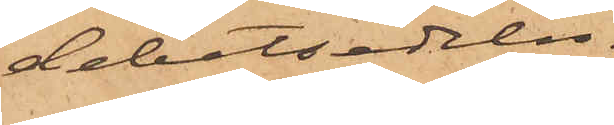debetsedeln.
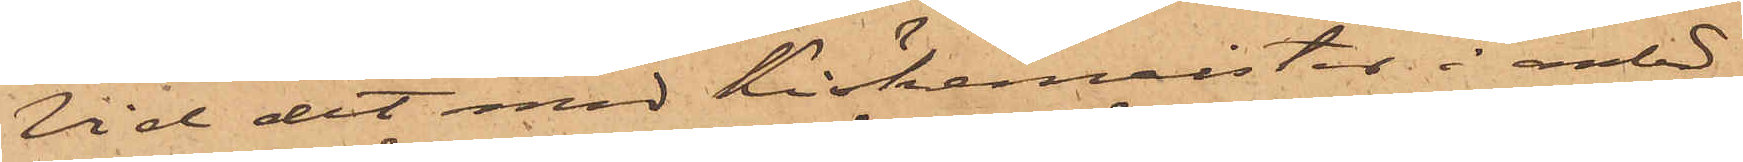Vid det med Kiöckemeister i anled¬
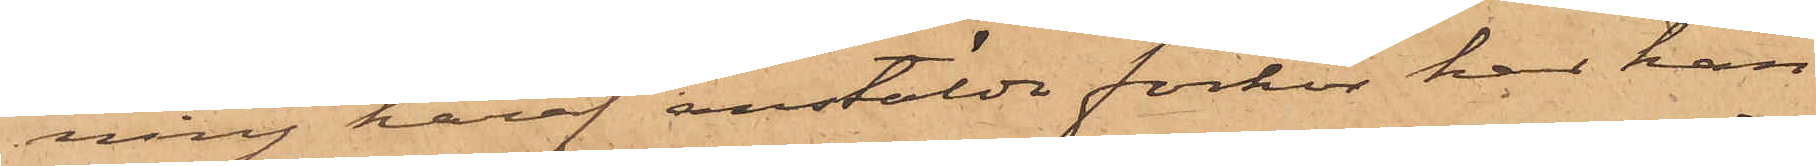ning häraf anstälda förhör har han
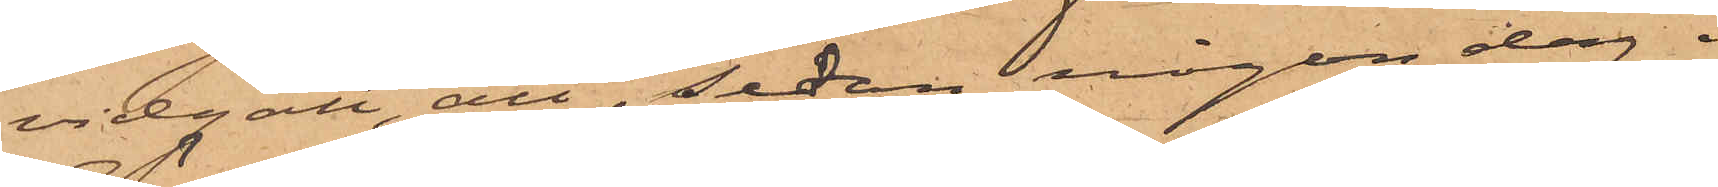vidgått, att, sedan någon dag.
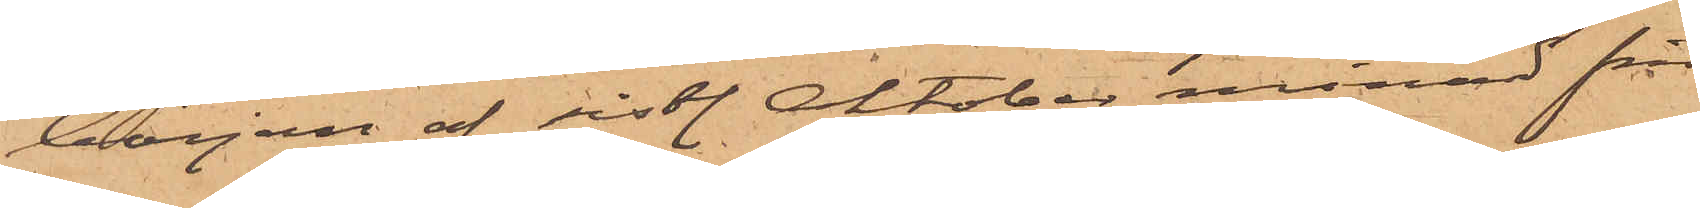början af sistl. Oktober månad från
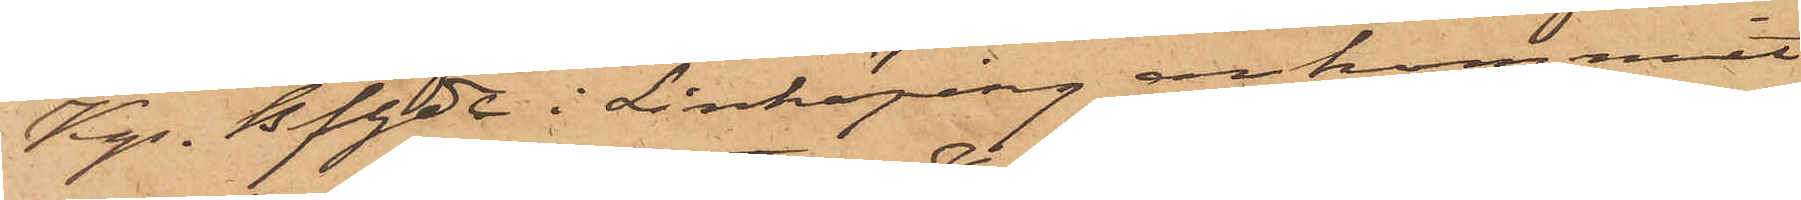Kgs Bfhde i Linköping ankommit
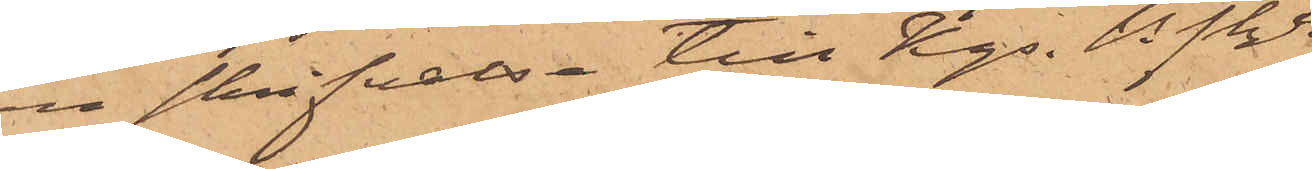en skrifvelse till Kgs. Bhde. 
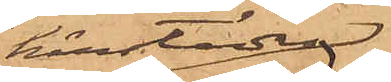härstädes
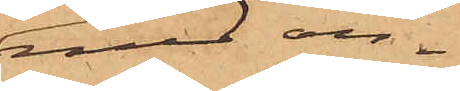med an¬
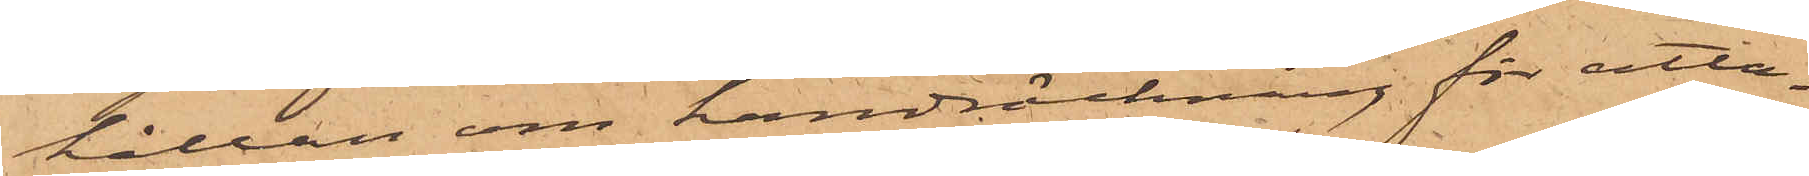hållan om handräckning för åtta¬
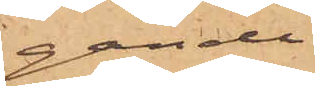gande
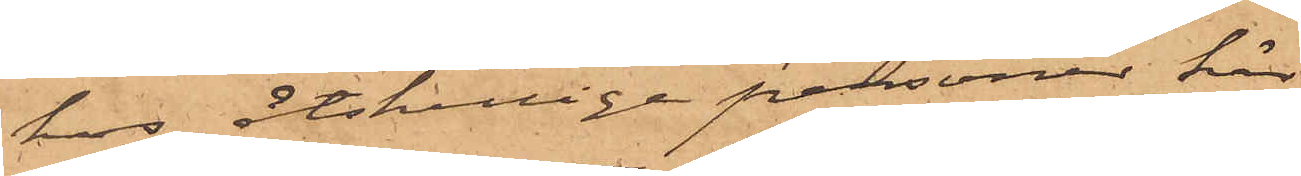hos åtskillige personer här
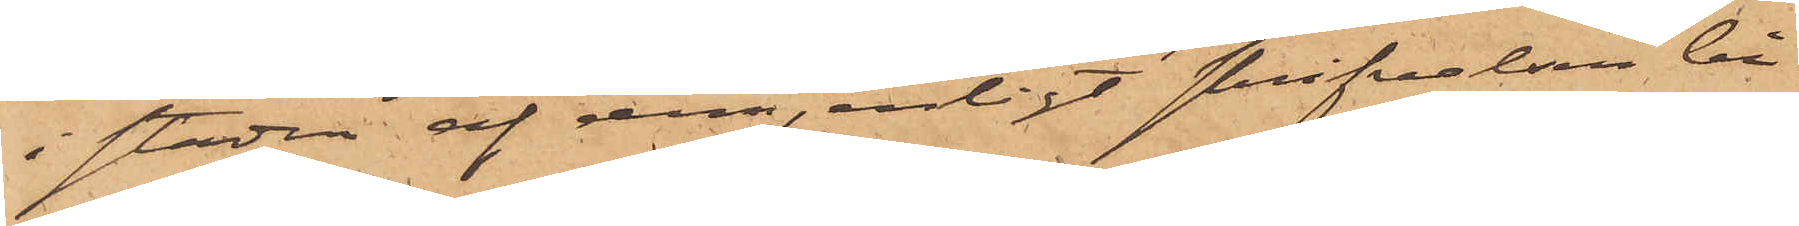i staden af dem, enligt skrifvaren be¬
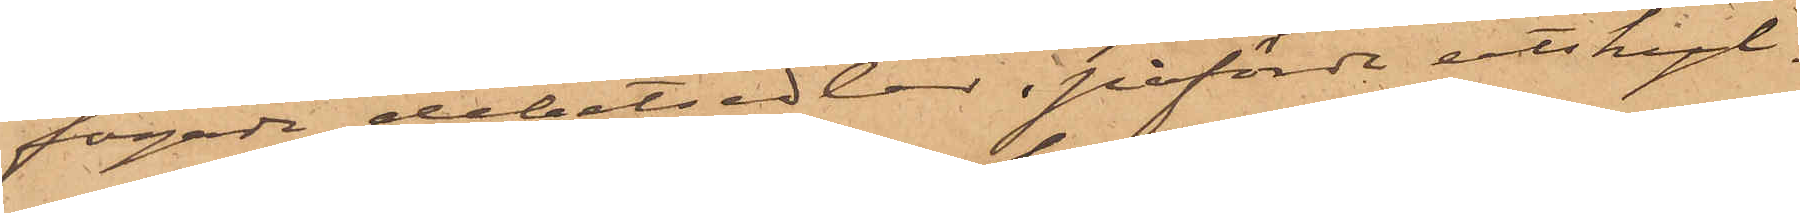fogade debetsedlar, påförda utskyl-
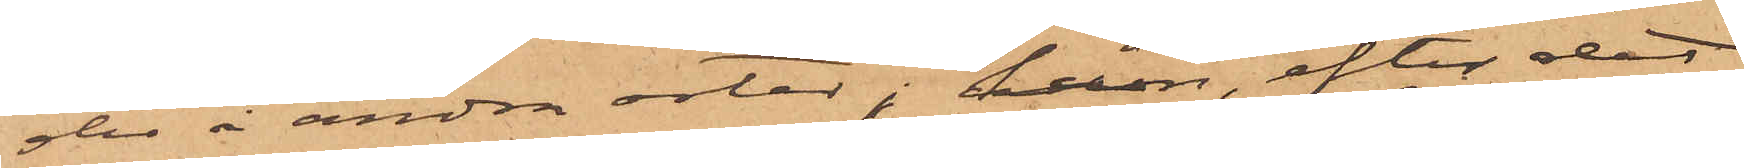der å andra orter, han, efter det
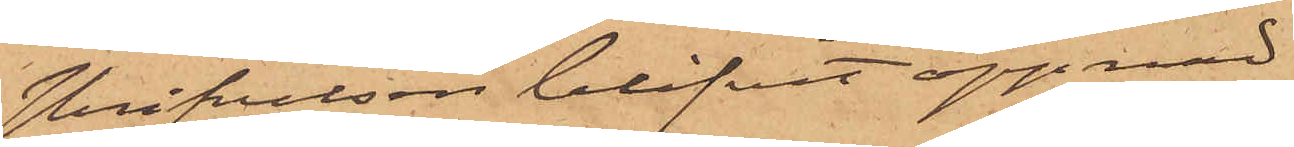skrifvelsen blifvit öppnad
